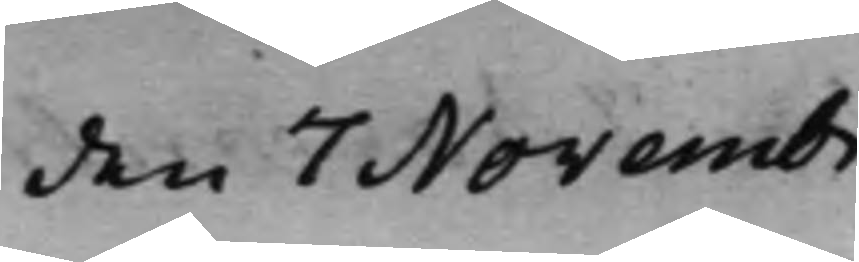den 7 Novembr.
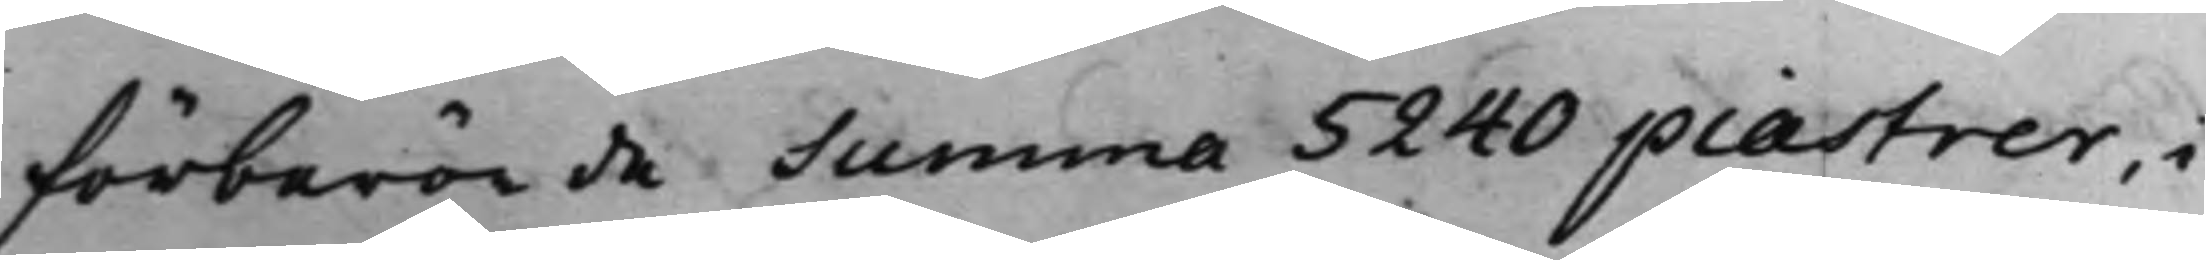förberörde Summa 5240 piastrer, i
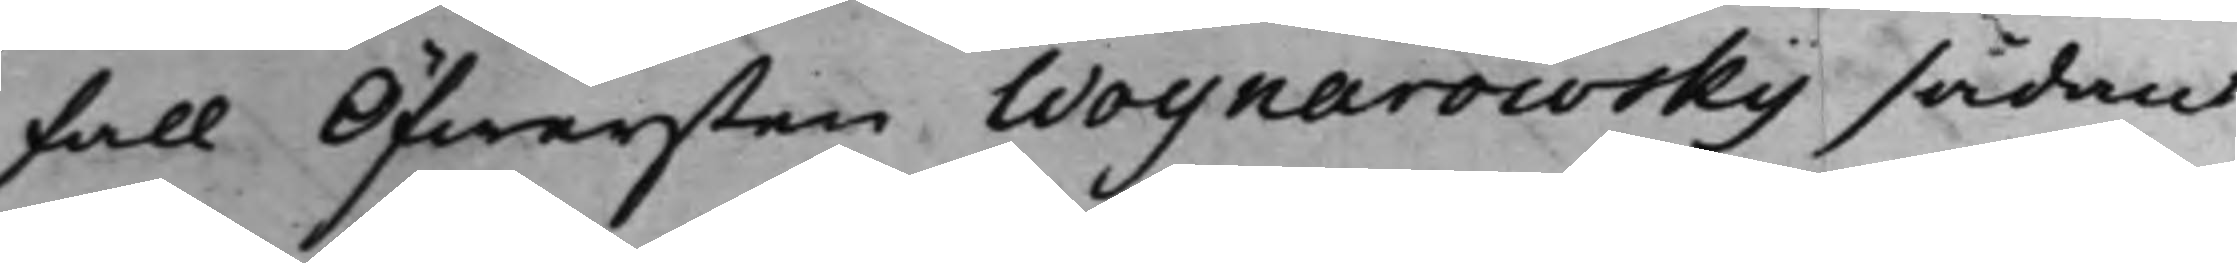fall Öfwersten Woynarowsky sådant
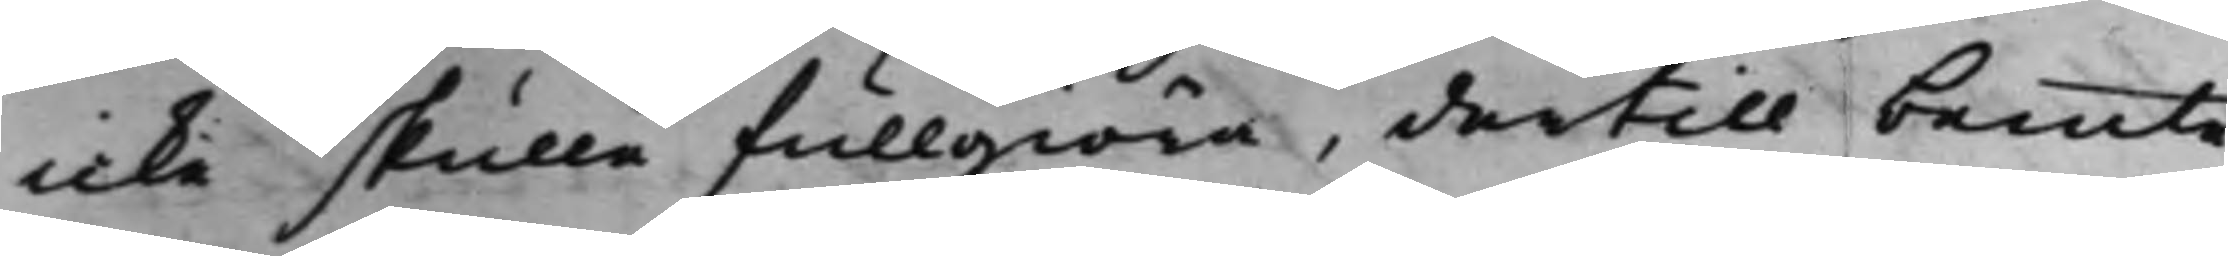icke skulle fullgiöra, dertill bemte
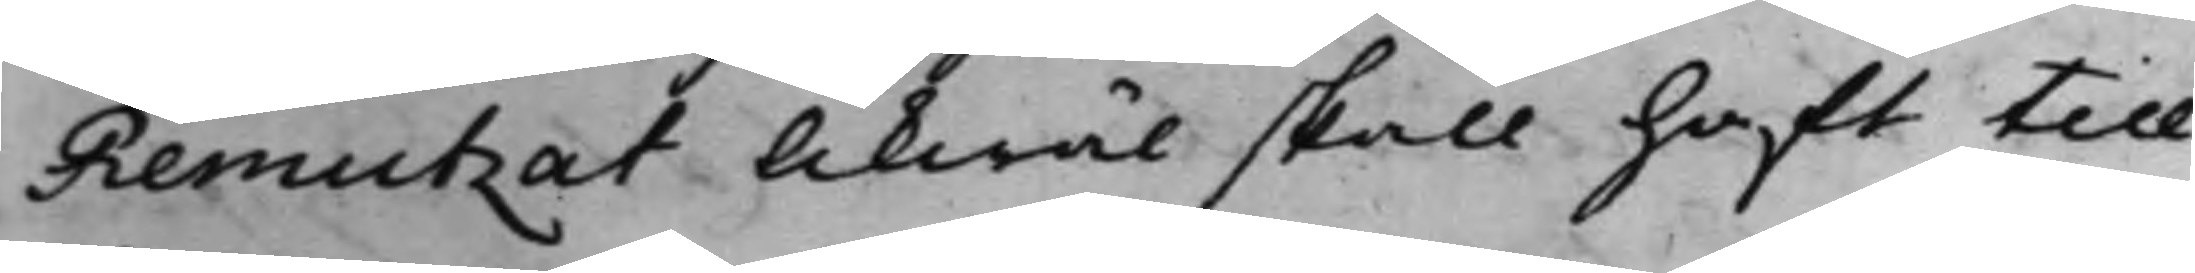Remutzat likwäl skall haft till¬
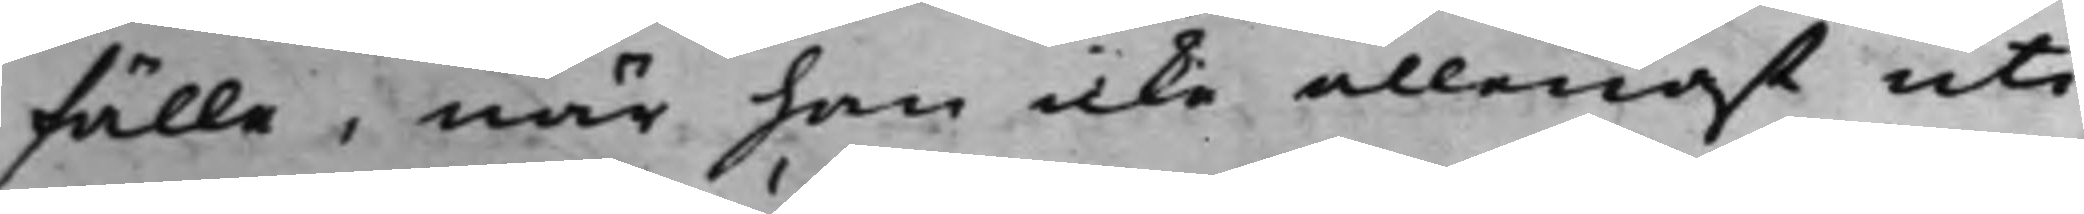fälle, när han icke allenast uti
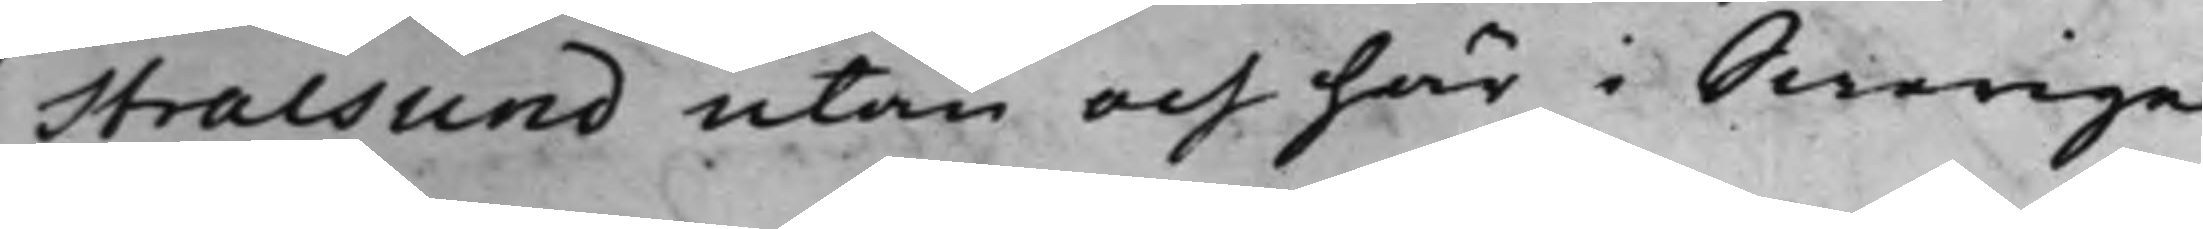Stralsund utan och här i Swerige
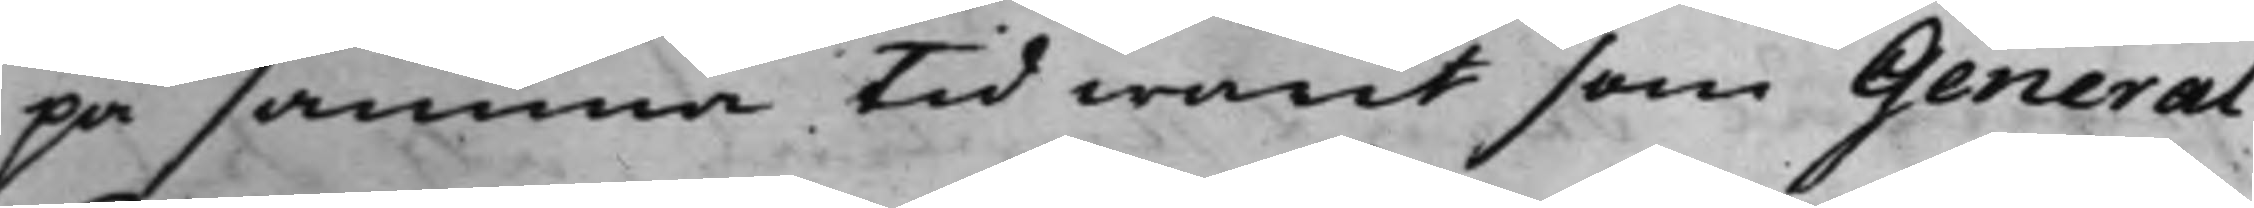på samma tid warit som General
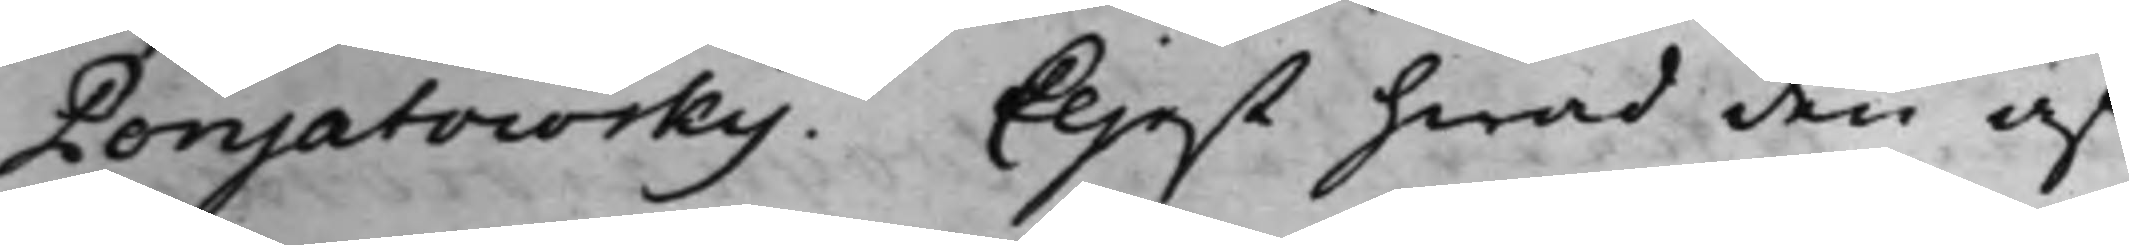Ponjatowsky. Eljest hwad den af
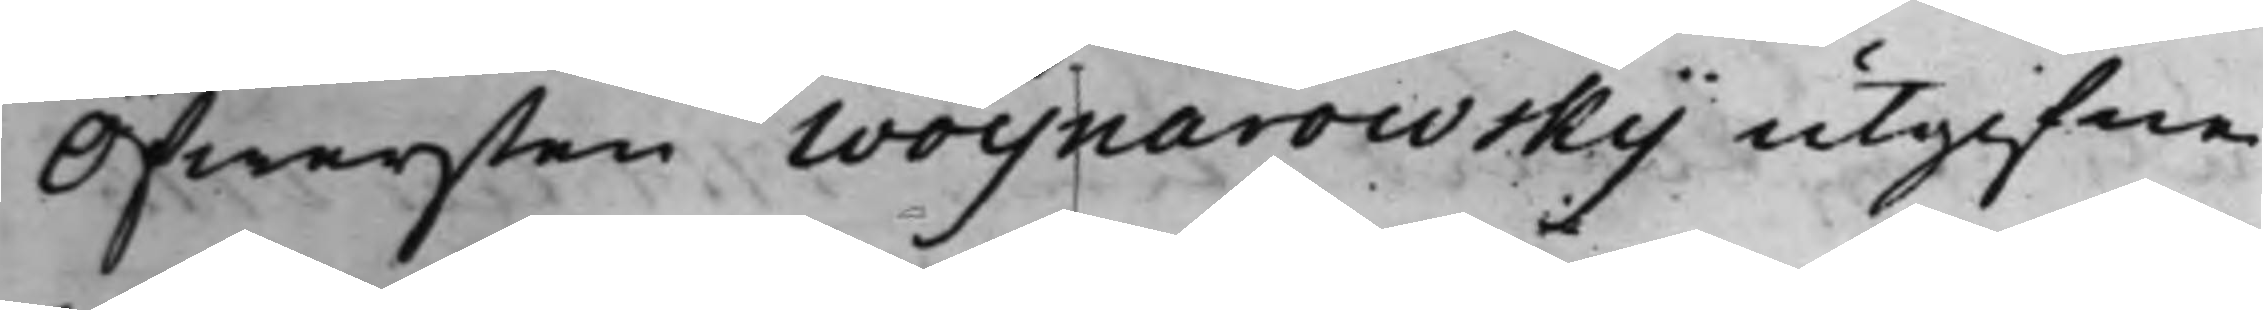Öfwersten Woynarowsky utgifne
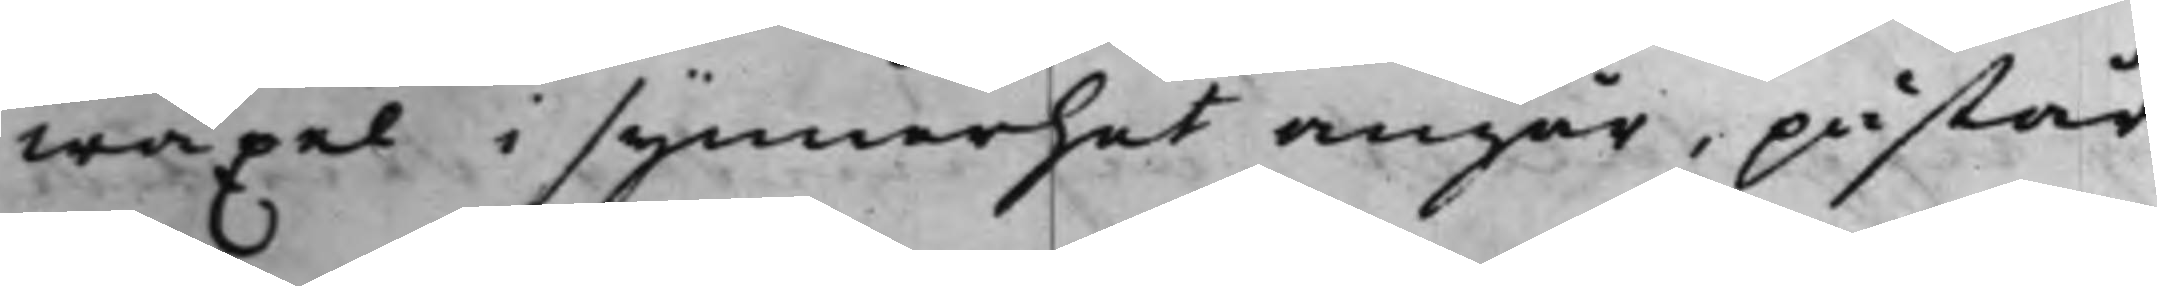wäxel i synnerhet angår, påstår
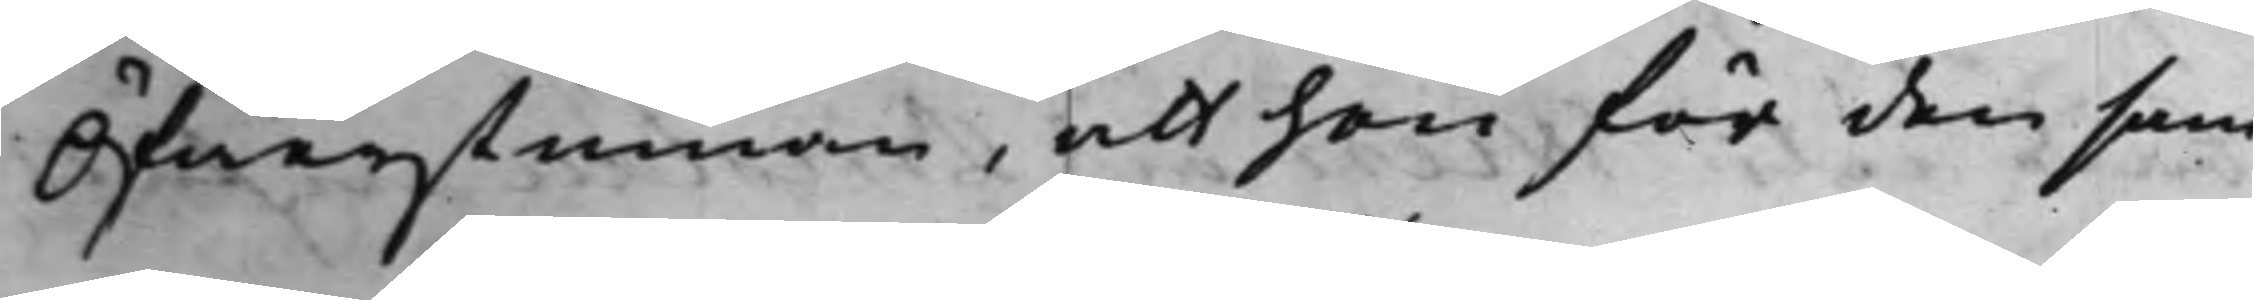Öfwerstinnan, att hon för den sam¬
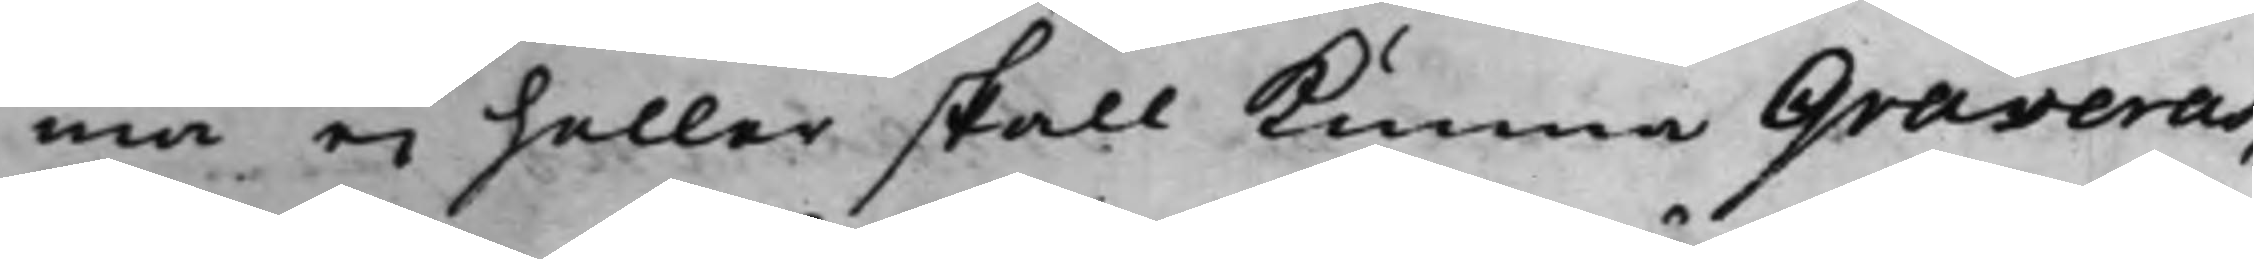ma ej heller skall kunna Graveras,
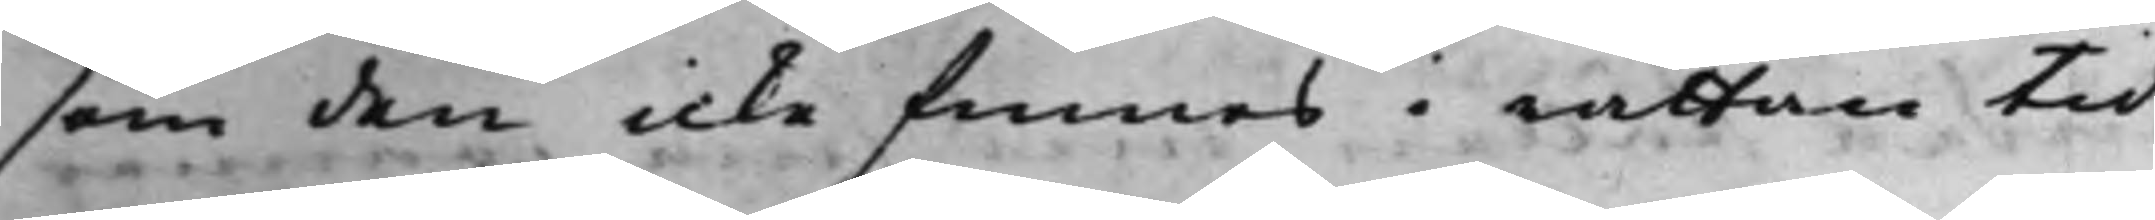som den icke finnes i rättan tid
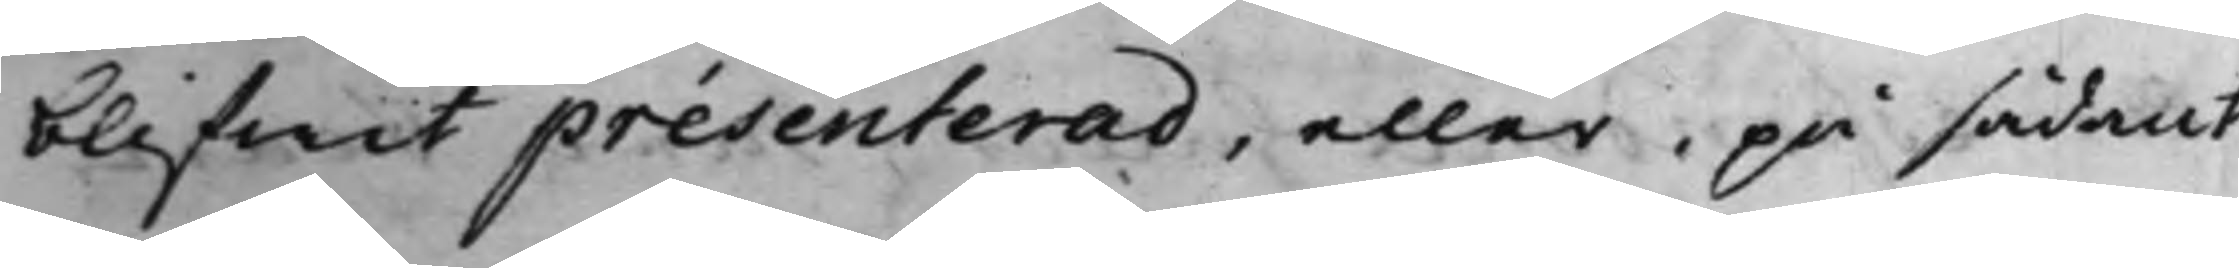blifwit presenterad, eller, på sådant
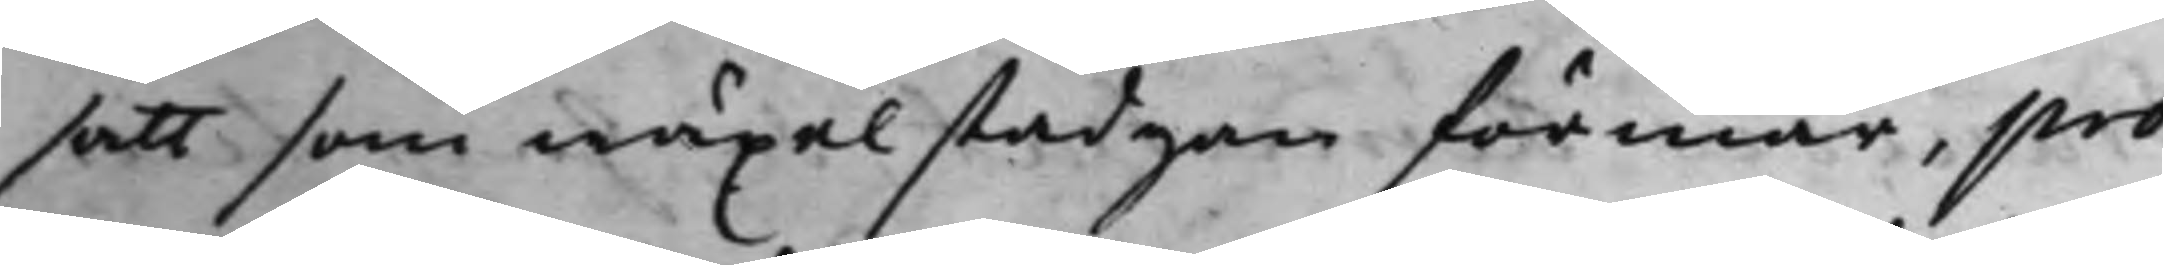satt som wäxel stadgan förmår, pro¬
